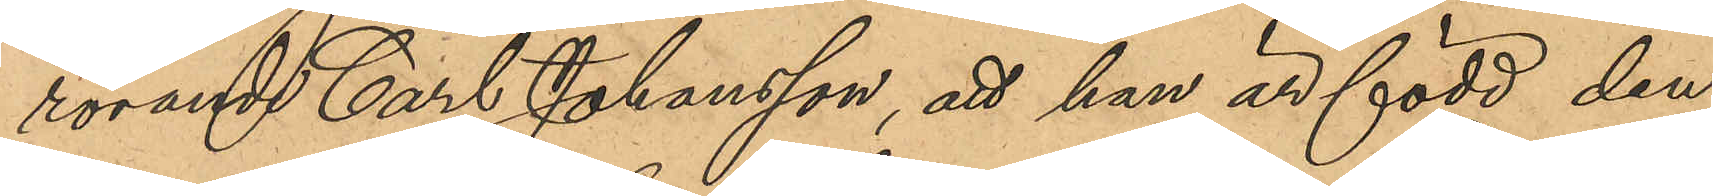rörande Carl Johansson, att han är född den
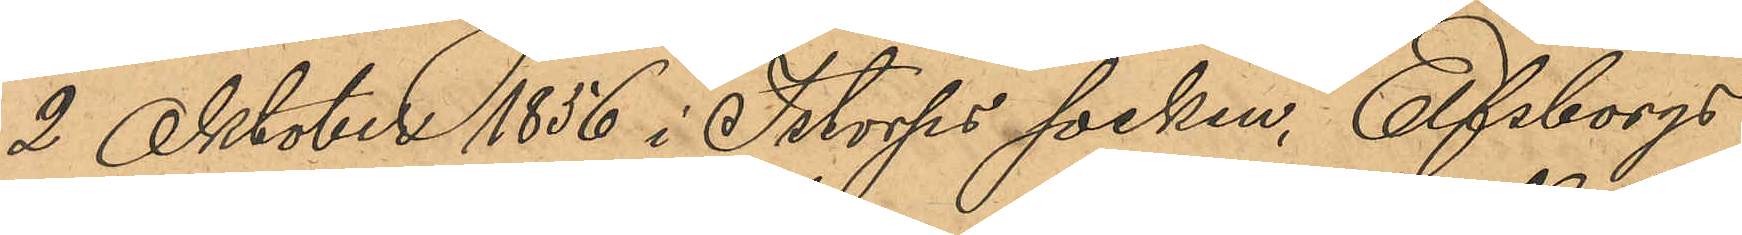2 Oktober 1856 i Istorps socken, Elfsborgs 
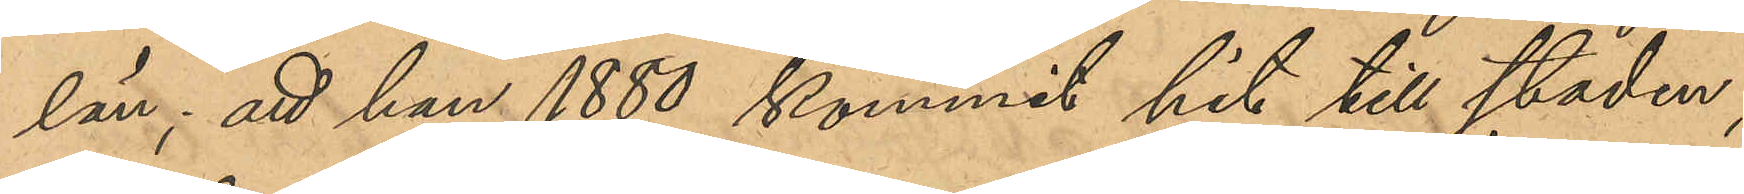län, att han 1880 kommit hit till staden;
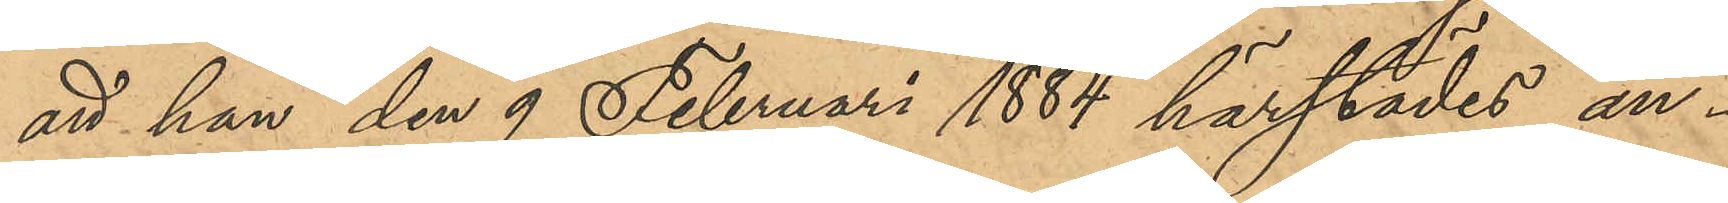att han den 9 Februari 1884 härstädes an¬
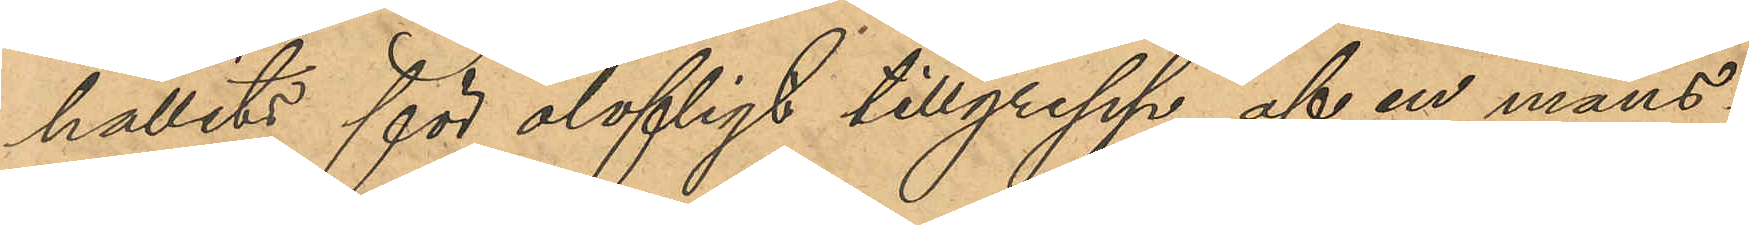hållits för olofligt tillgrepp af en mans¬
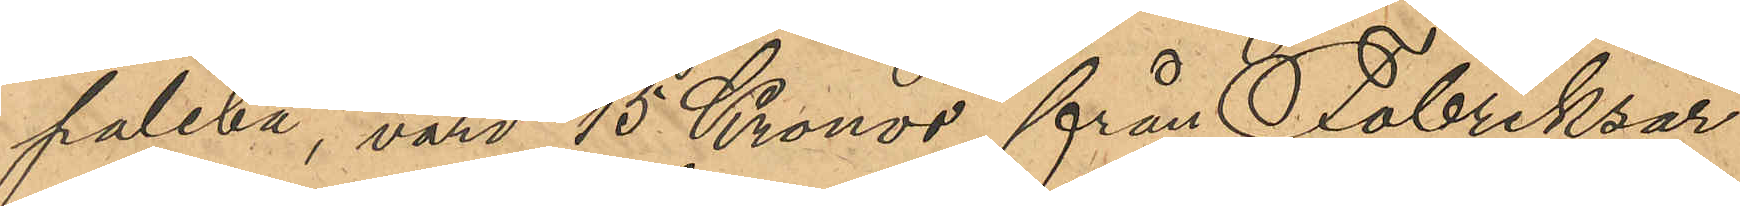paletå, värd 15 Kronor från Fabriksar¬
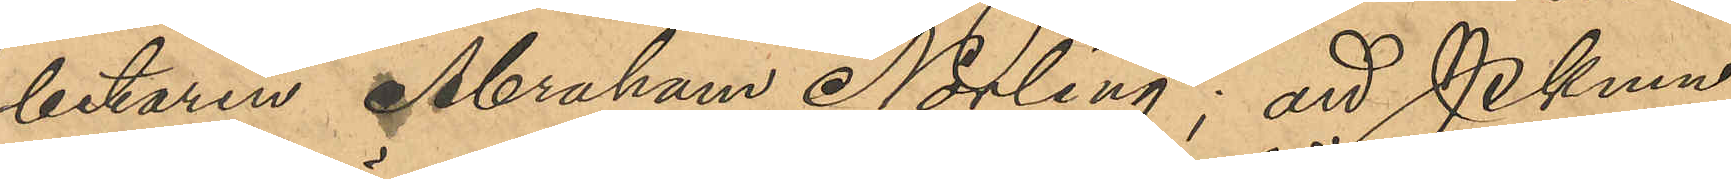betaren Abraham Norling; att PKmn
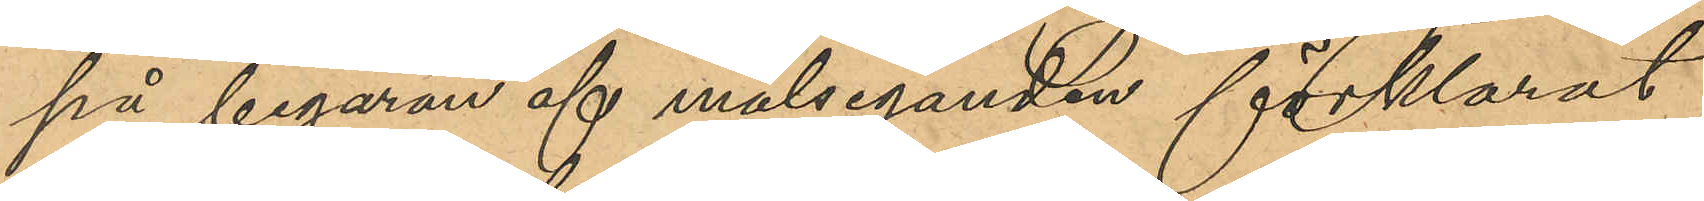på begäran af målseganden förklarat
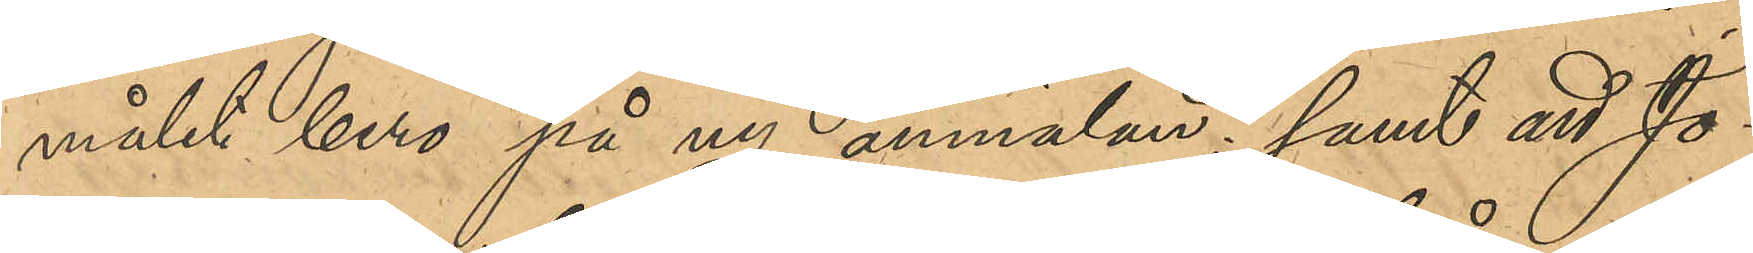målet bero på ny anmälan; samt att Jo¬
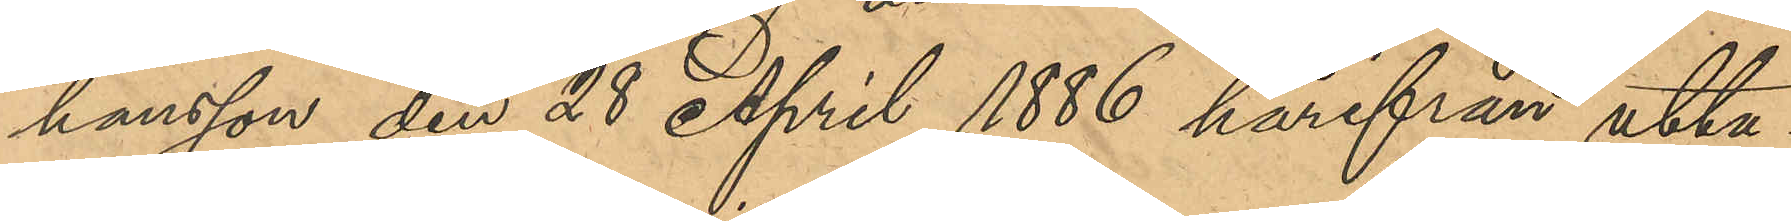hansson den 28 April 1886 härifrån utta¬
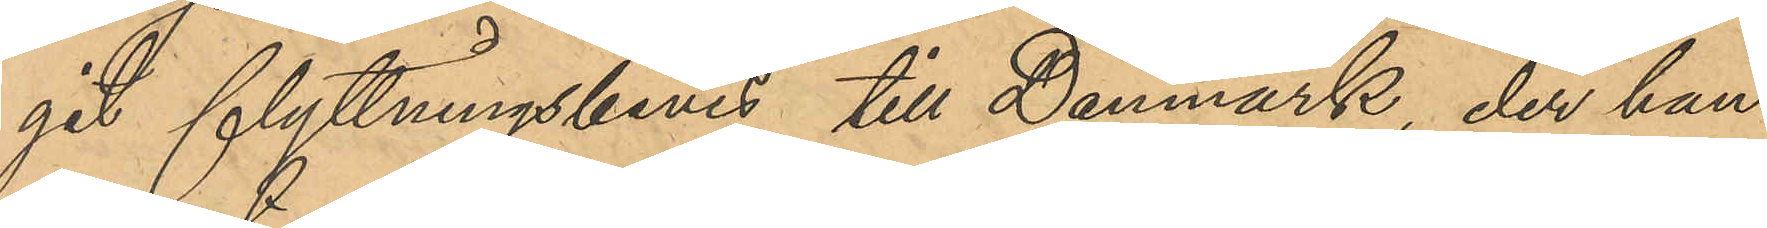git flyttningsbevis till Danmark, der han
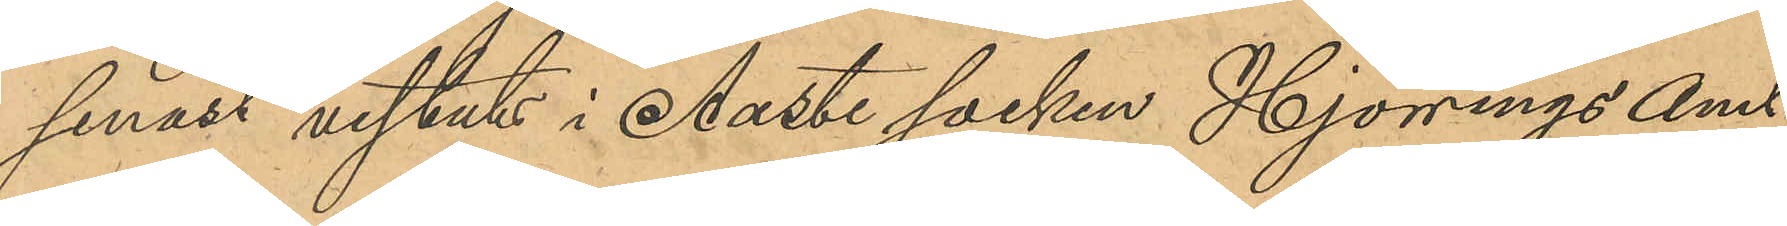senast vistats i Aaste socken Hjörnings Amt.
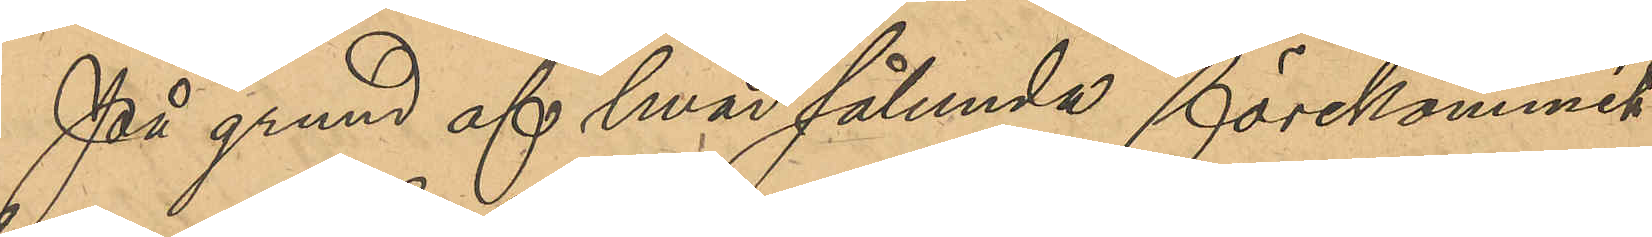På grund af hvad sålunda förekommit
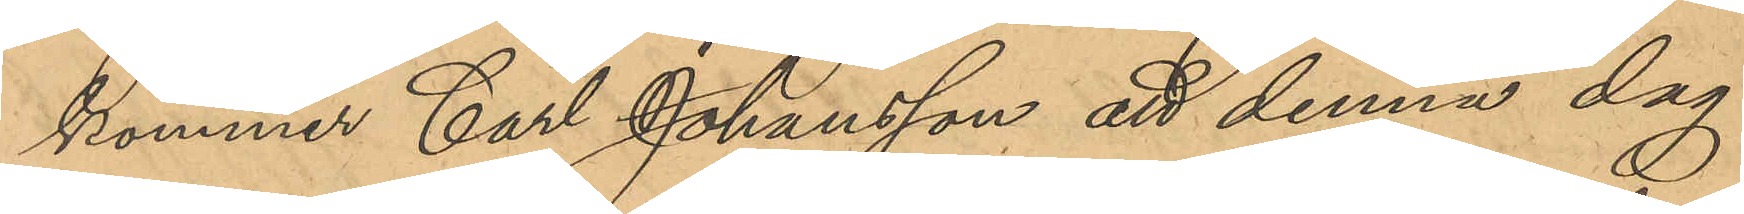kommer Carl Johansson att denna dag
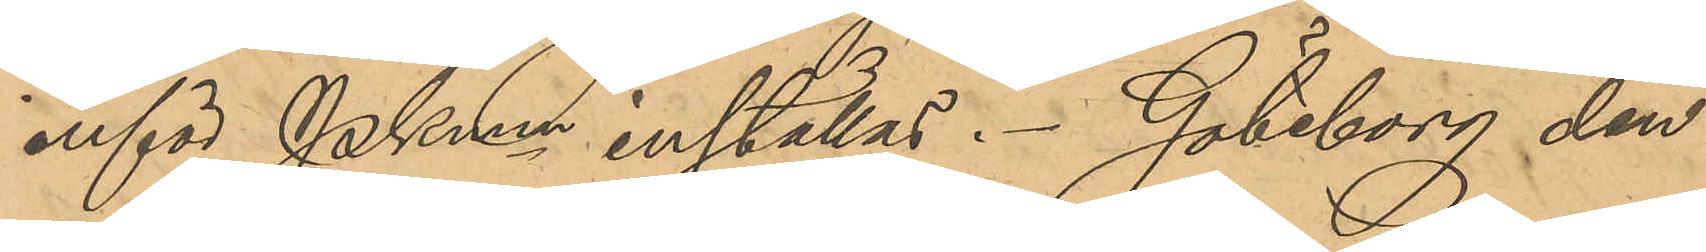inför PKmn inställas. Göteborg den
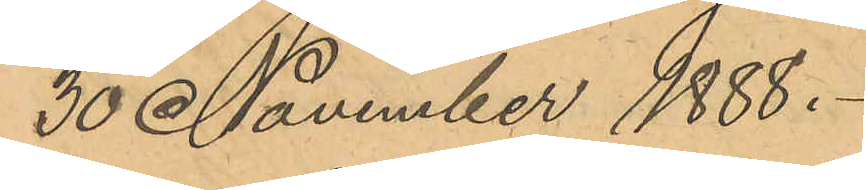30 November 1888.
